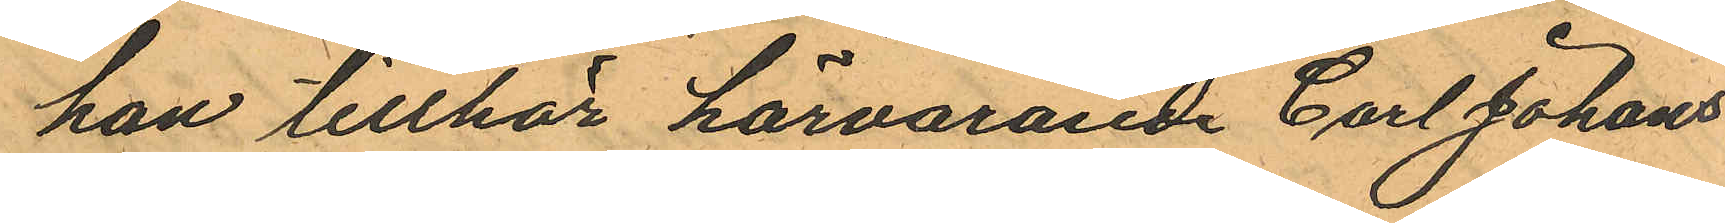han tillhör härvarande Carl Johans
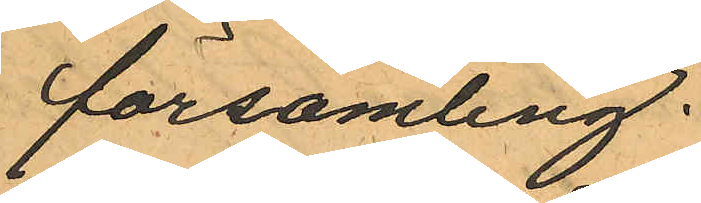församling.
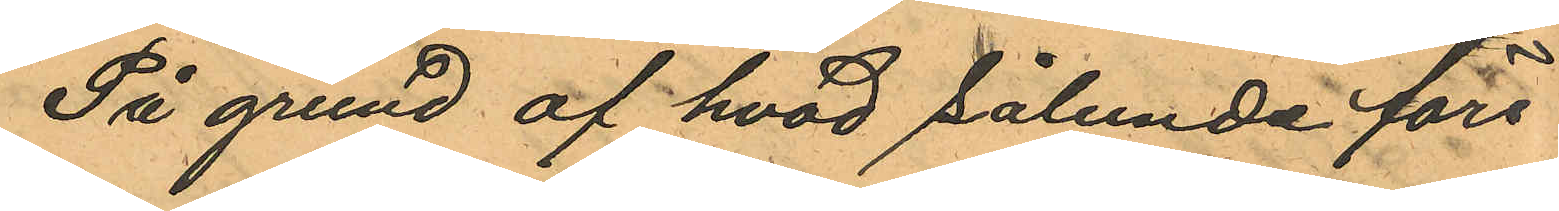På grund af hvad sålunda före
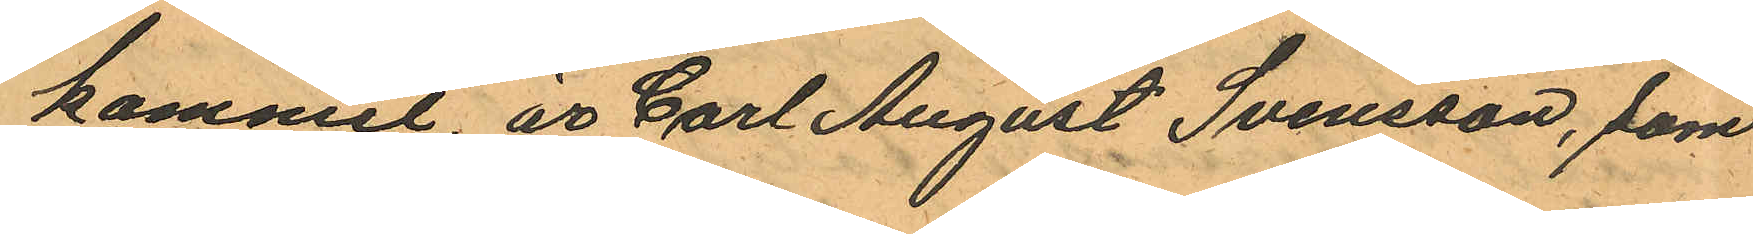kommit, är Carl August Svensson, som
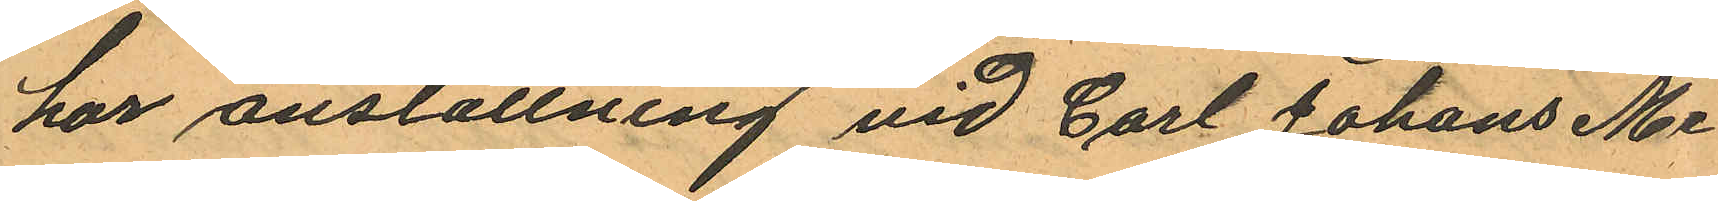har anställning vid Carl Johans Me¬
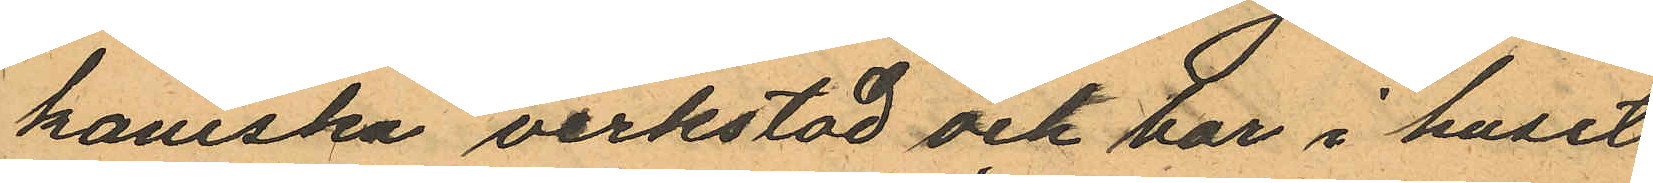kaniska verkstad och bor i huset
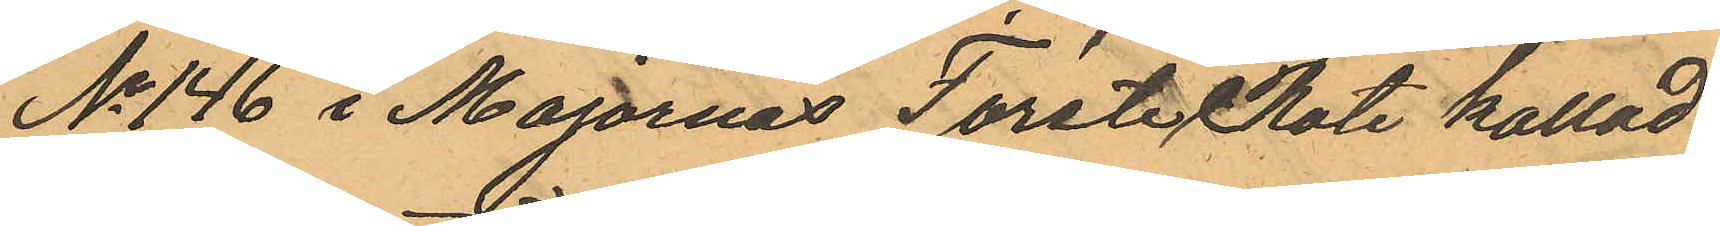No 146 i Majornas Förste Rote kallad
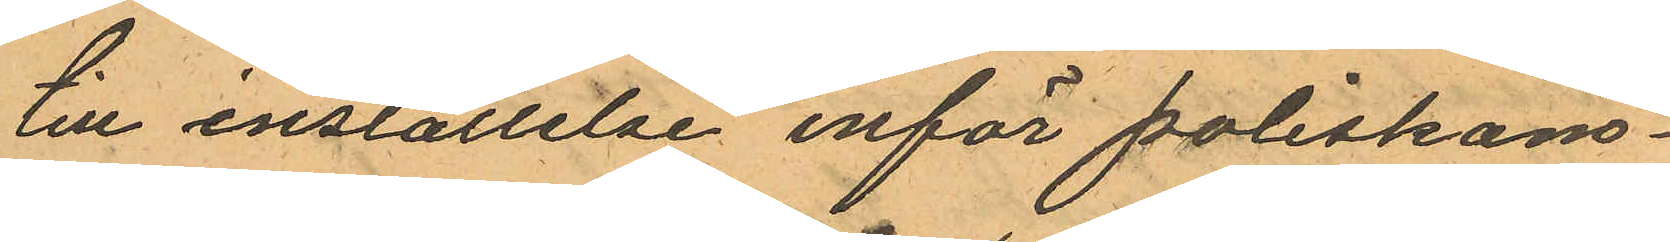till inställelse inför poliskam¬
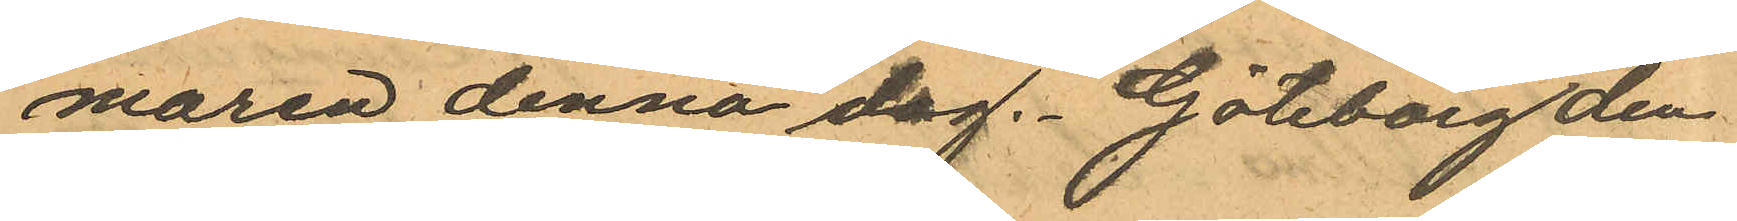maren denna dag. Göteborg den
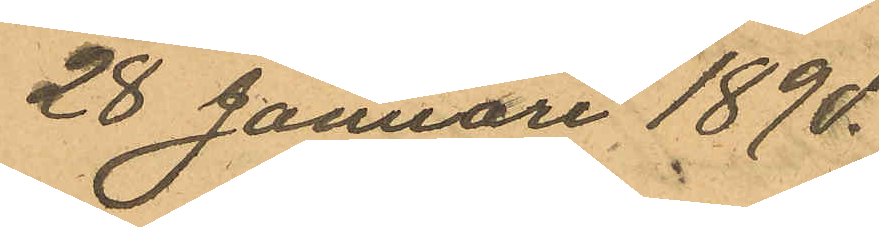28 Januari 1890.
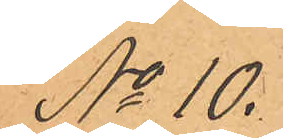No 10.
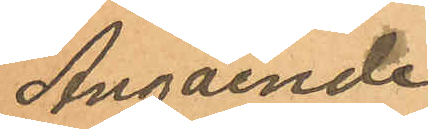Angående
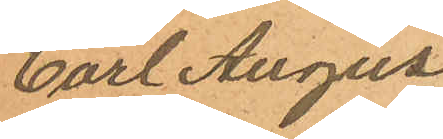Carl August
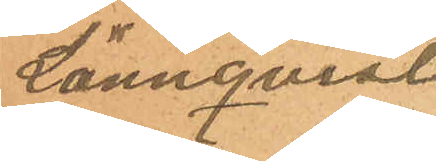Lönnqvist
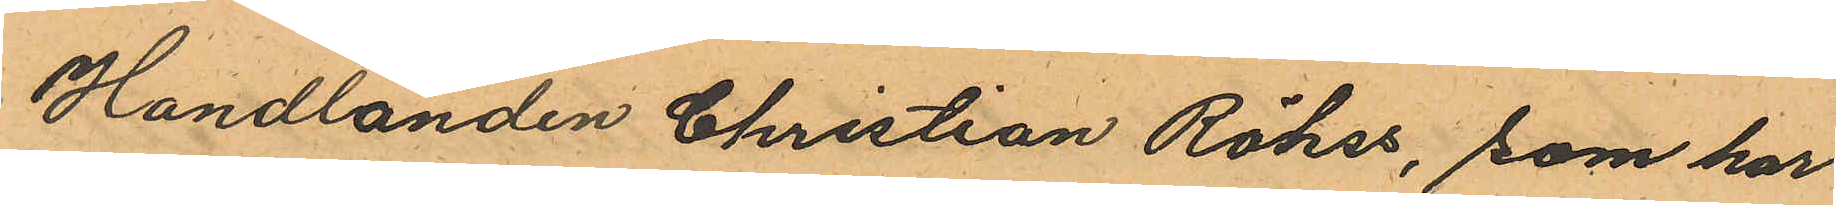Handlanden Christian Röhss, som har
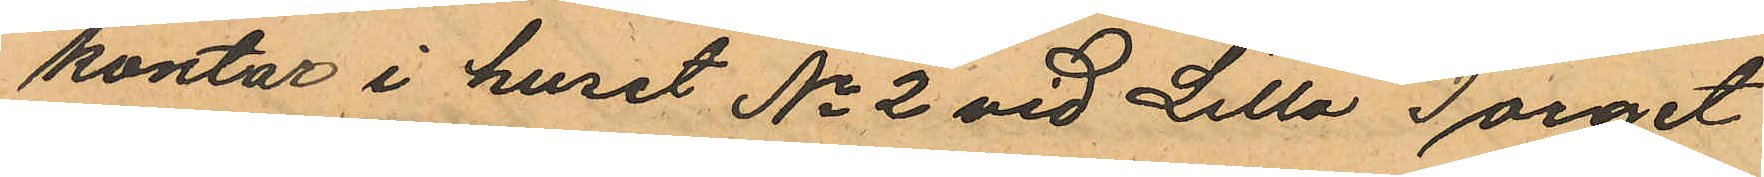kontor i huset No 2 vid Lilla Torget
